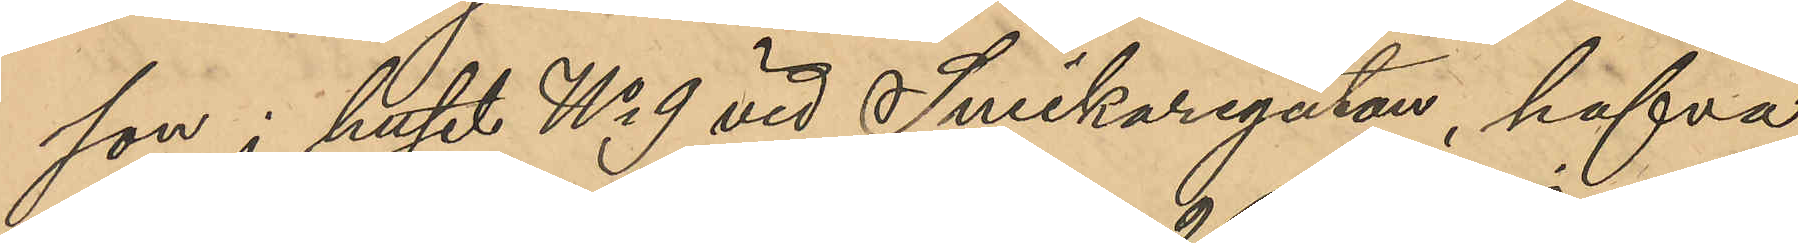son i huset No 9 vid Snickaregatan, hafva
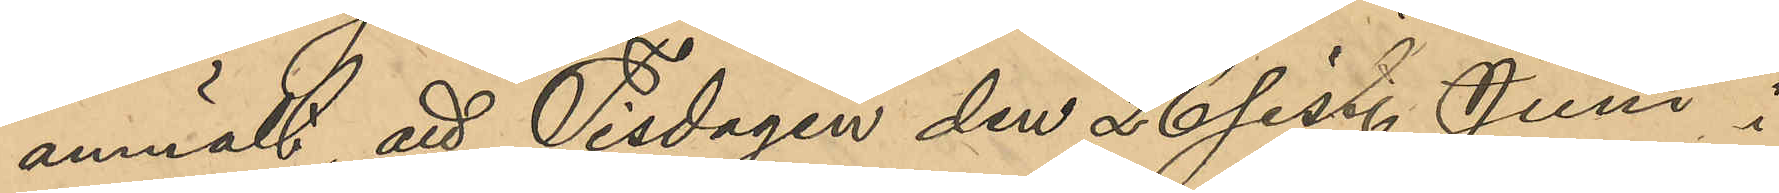anmält att Tisdagen den 26 sist. Juni i
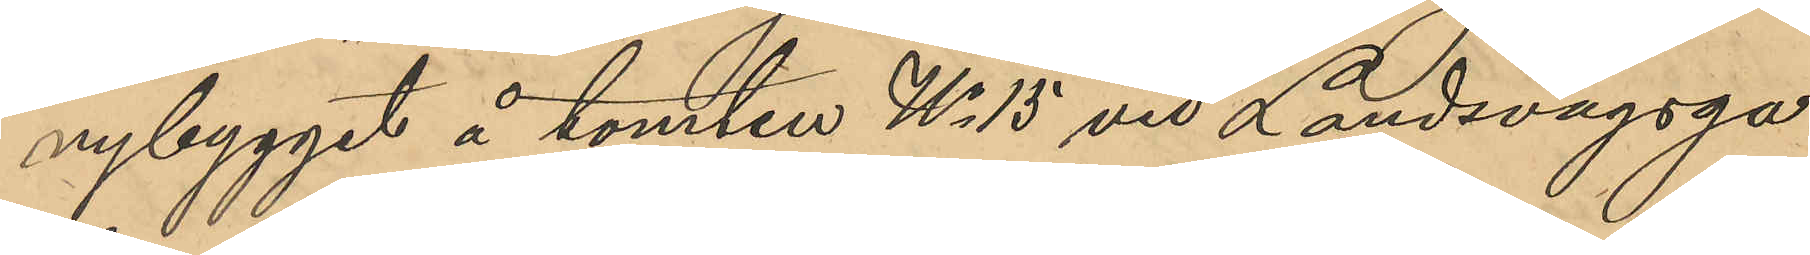nybygget å tomten No 15 vid Landsvägsga¬
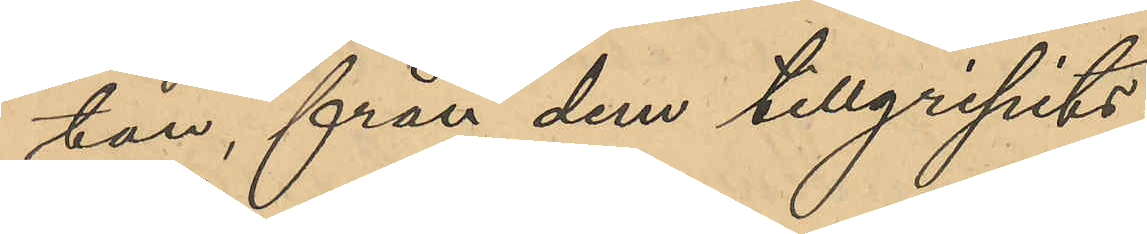tan, från dem tillgripits:
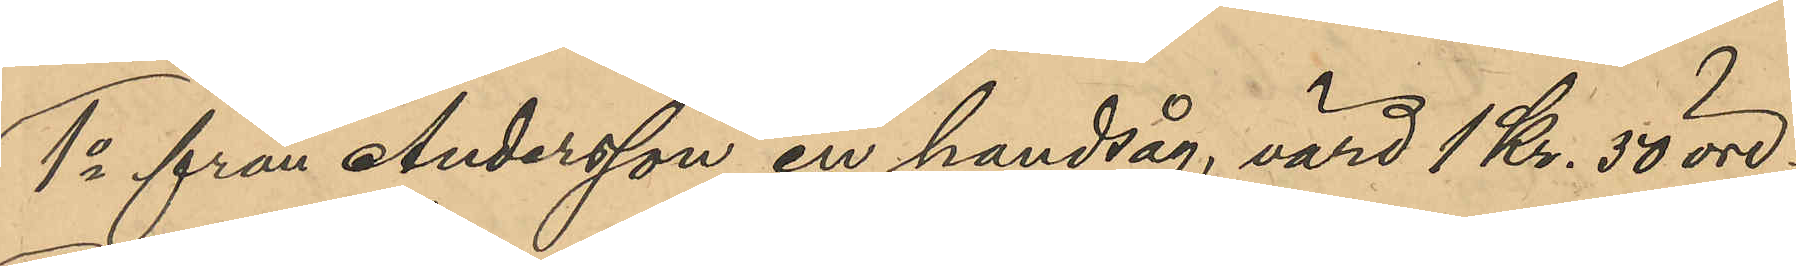1o från Andersson en handsåg, värd 1 Kr. 50 öre,
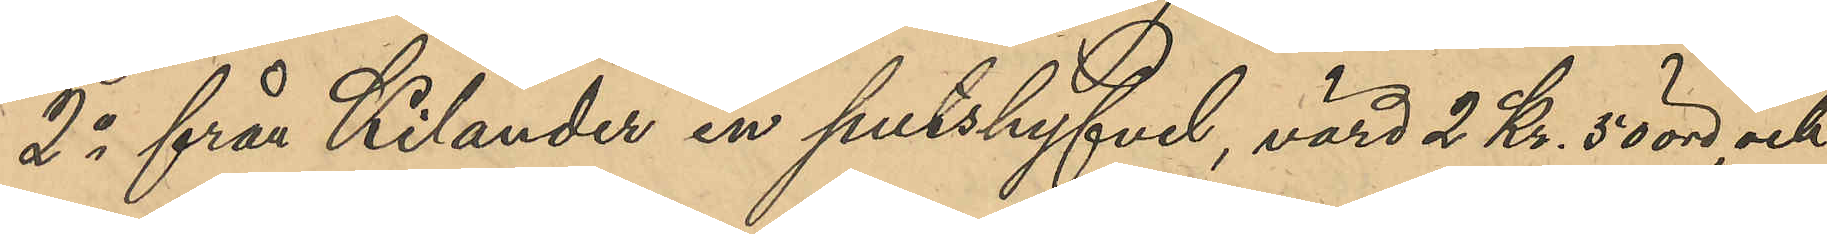2o från Kilander en putshyfvel, värd 2 Kr. 50 öre, och
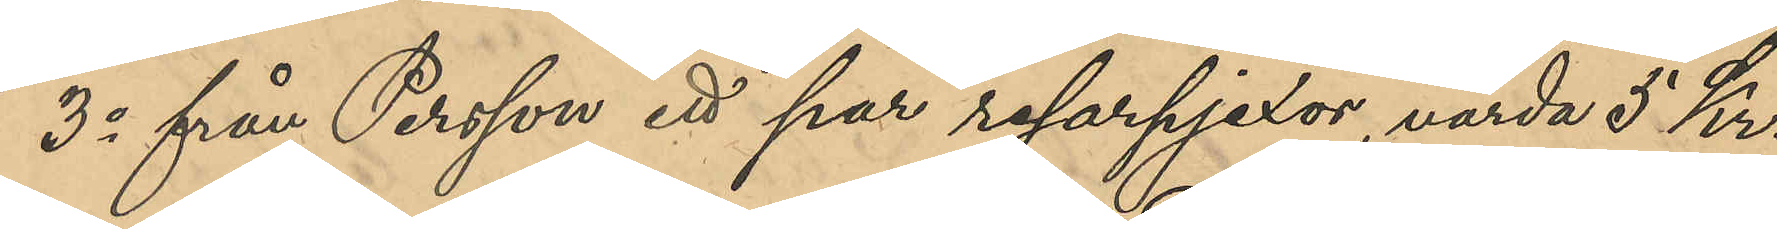3o från Persson ett par resarpjexor, varda 5 Kr.
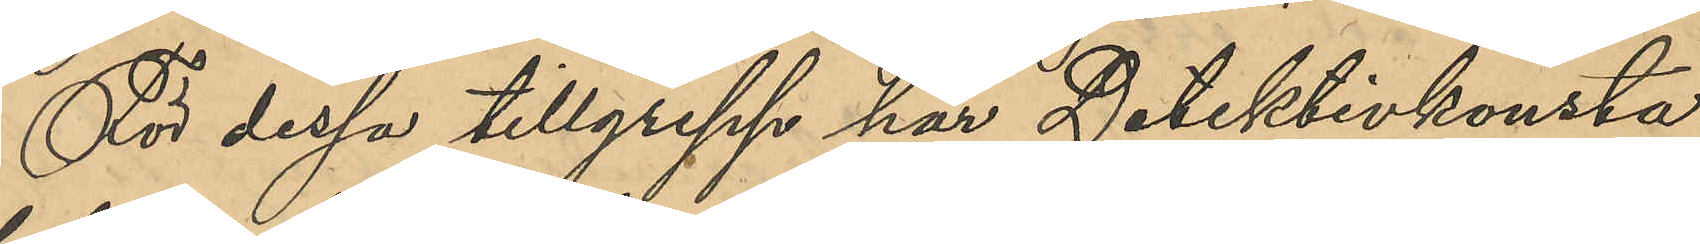För dessa tillgrepp har Detektivkonsta¬
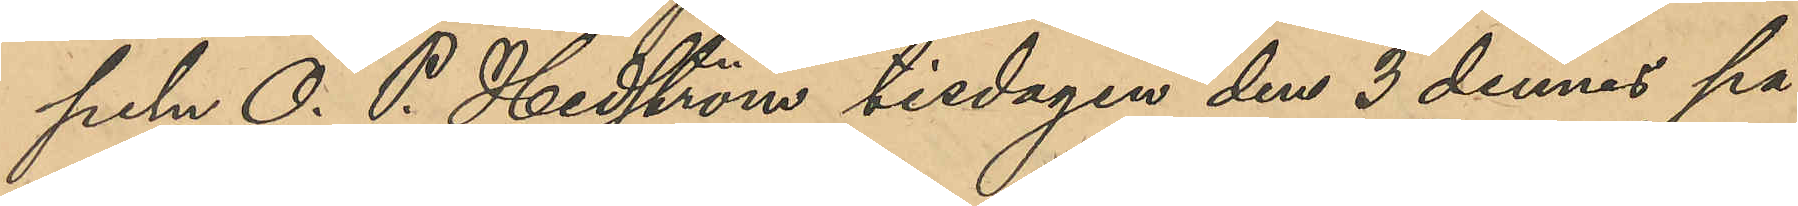peln O. P. Hedström tisdagen den 3 dennes på
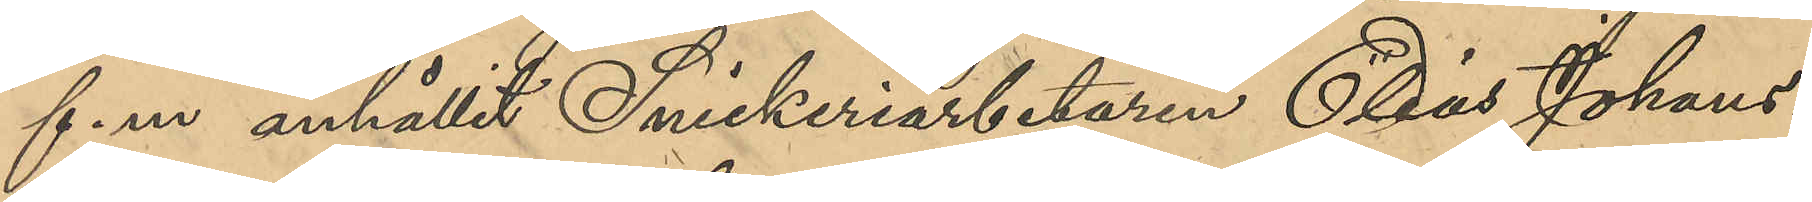f. m. anhållit Snickeriarbetaren Elias Johans¬
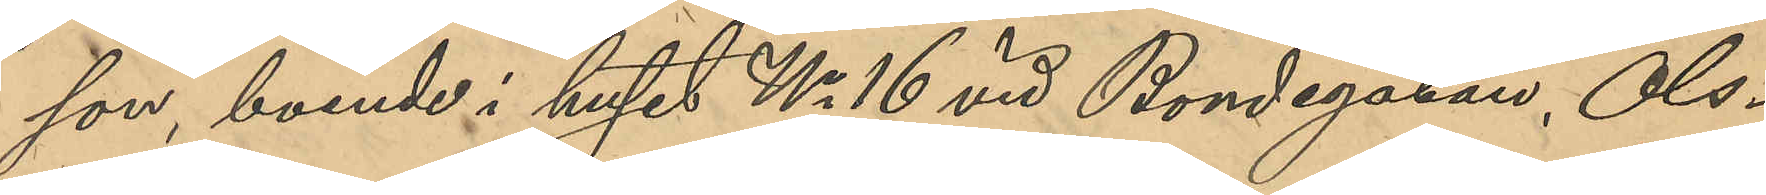son, boende i huset No 16 vid Bondegatan, Ols¬
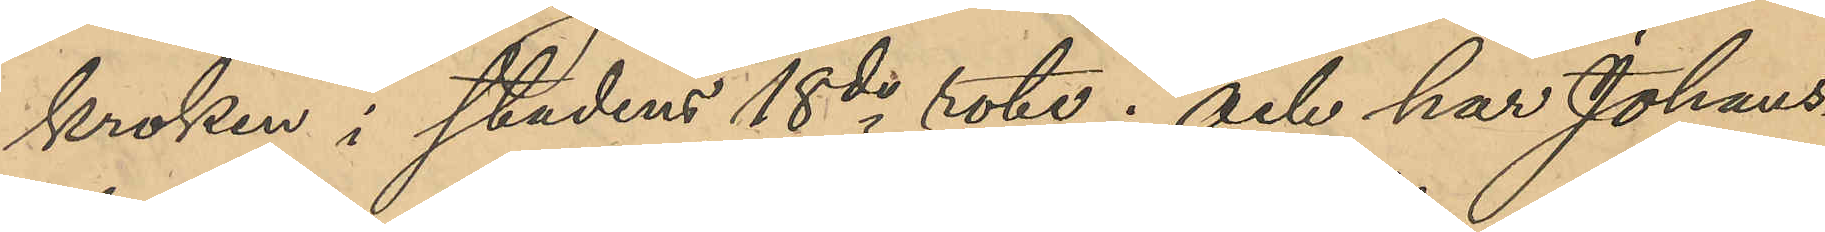kroken i stadens 18de rote; och har Johans¬
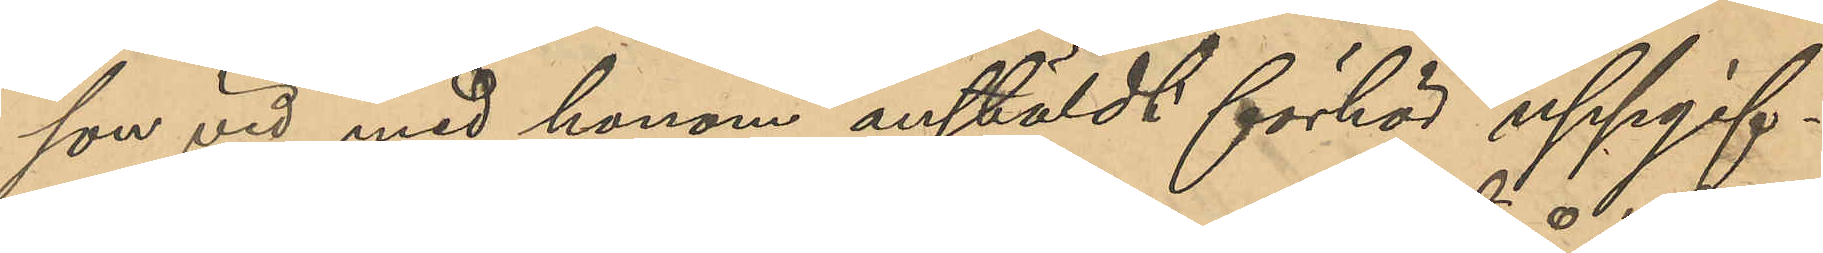son vid med honom anstäldt förhör uppgif¬
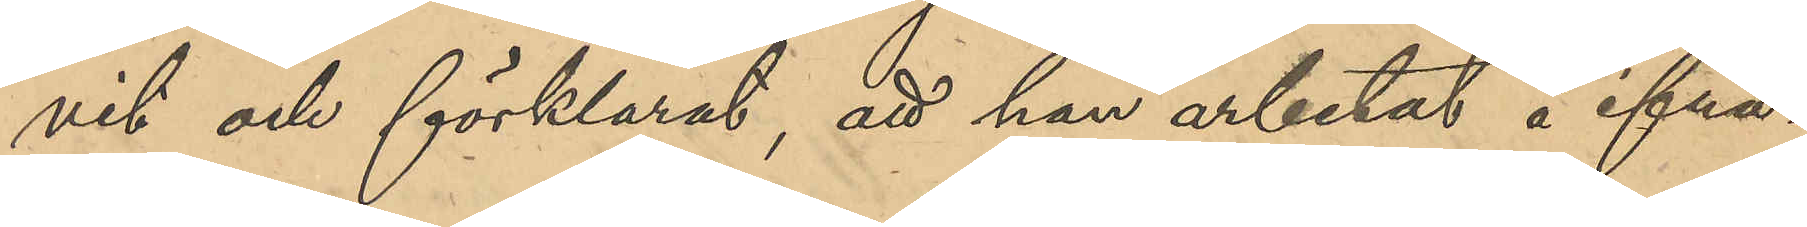vit och förklarat, att han arbetat å ifrå¬
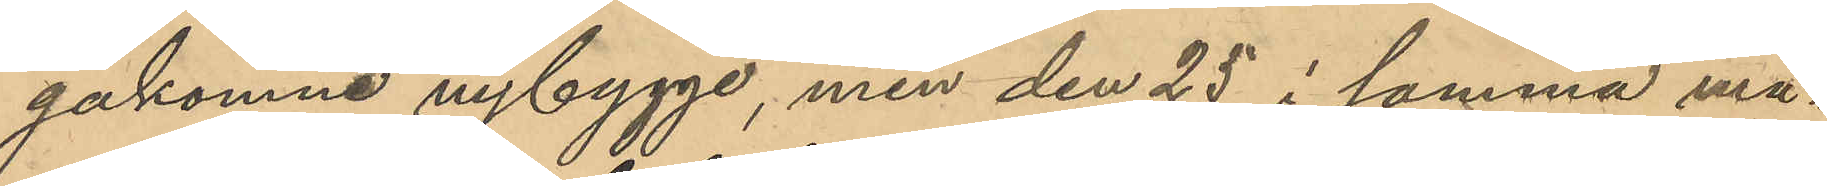gakomne nybygge, men den 25 i samma må¬
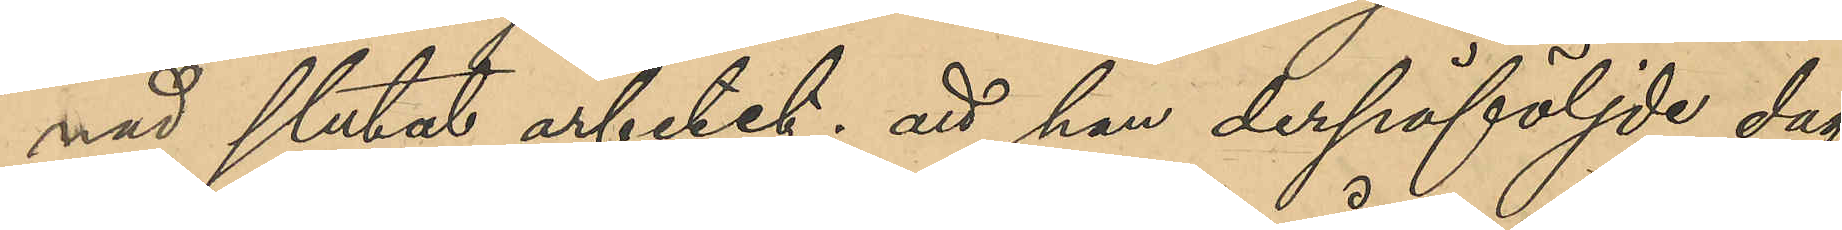nad slutat arbetet; att han derpåföljde dag
